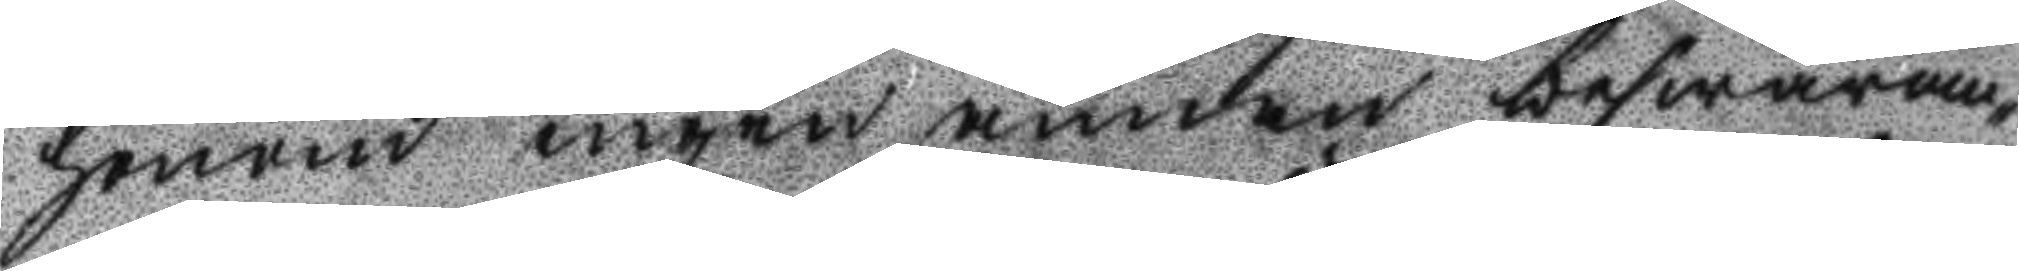honom ingen annan beswäran¬
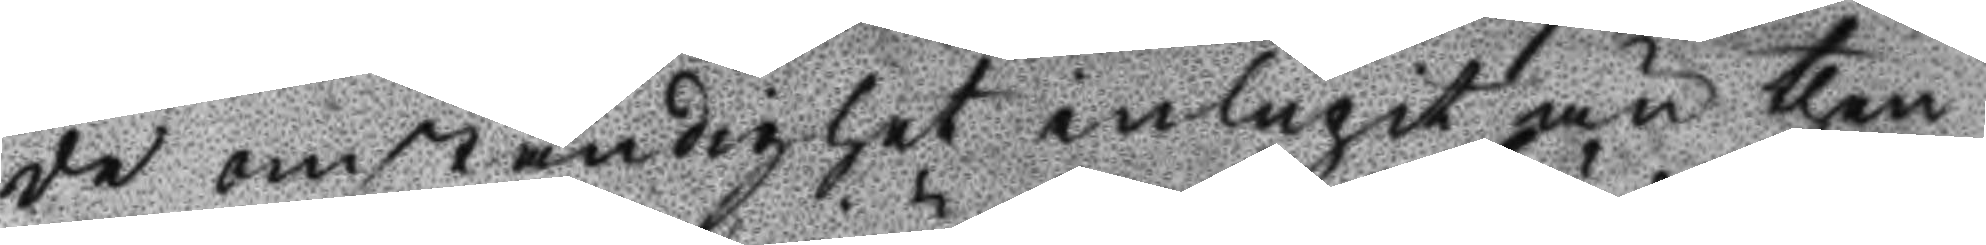de omständighet inlupit then
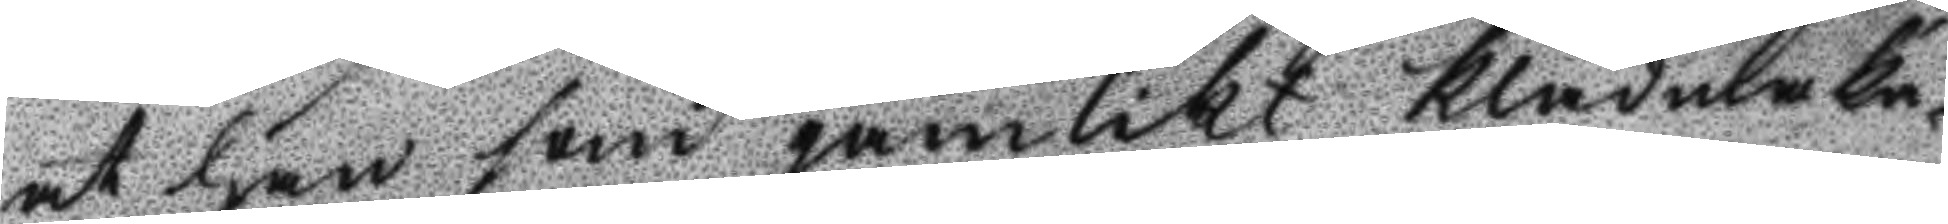at han som jämlikt klädmaka¬
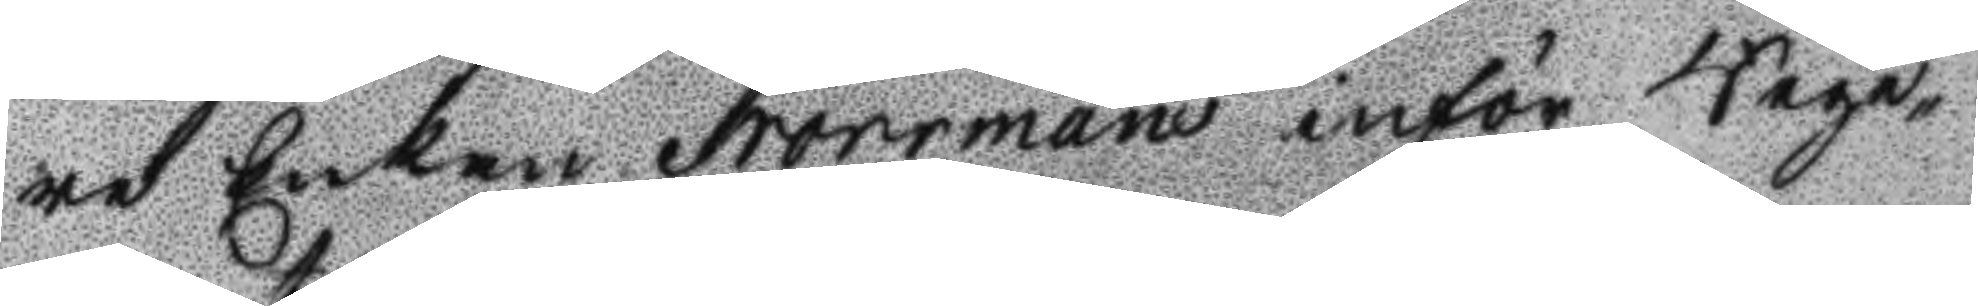re Enkan Norrmans inför Rege¬
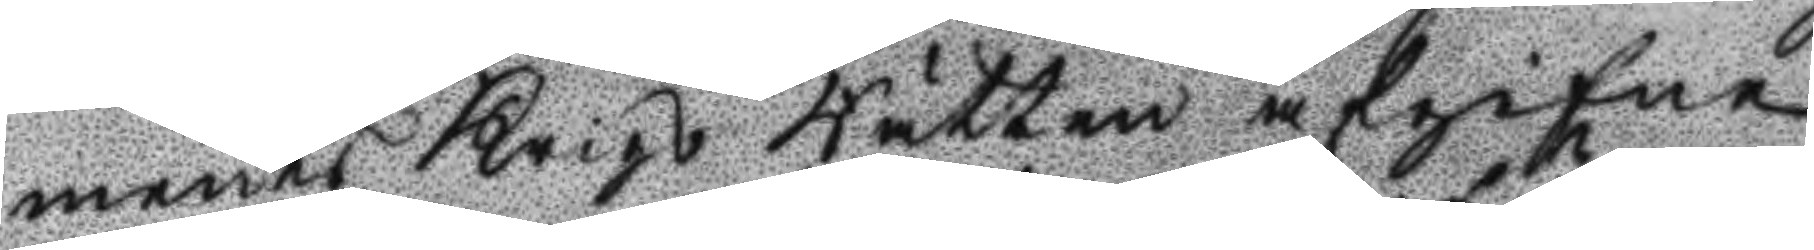ments Krigs Rätten afgifne
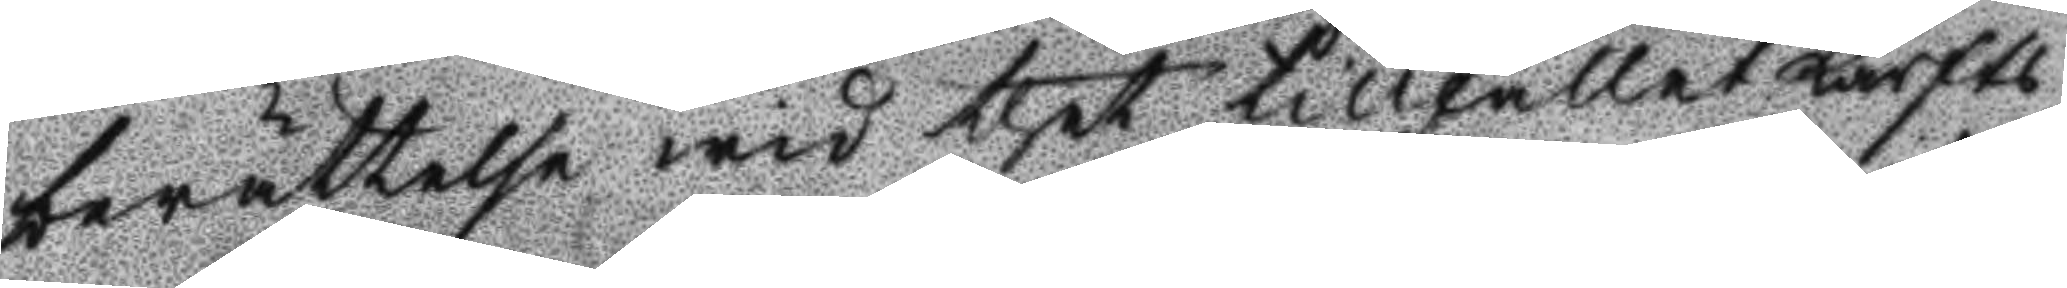berättelse wid thet tillfället Lärfts
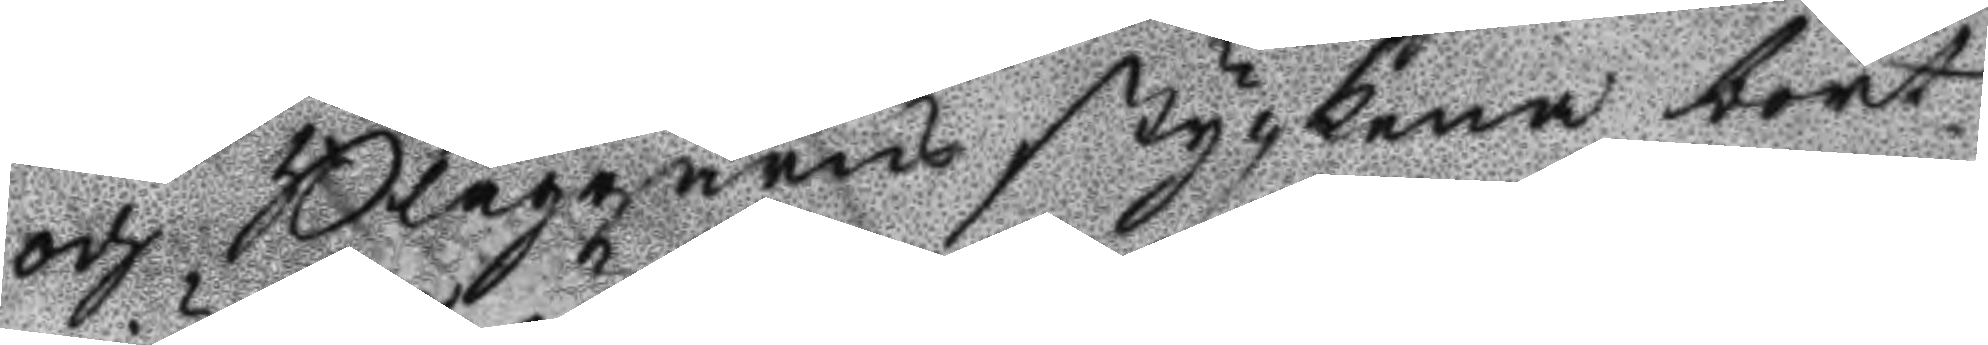och Blaggarns styckena bort¬
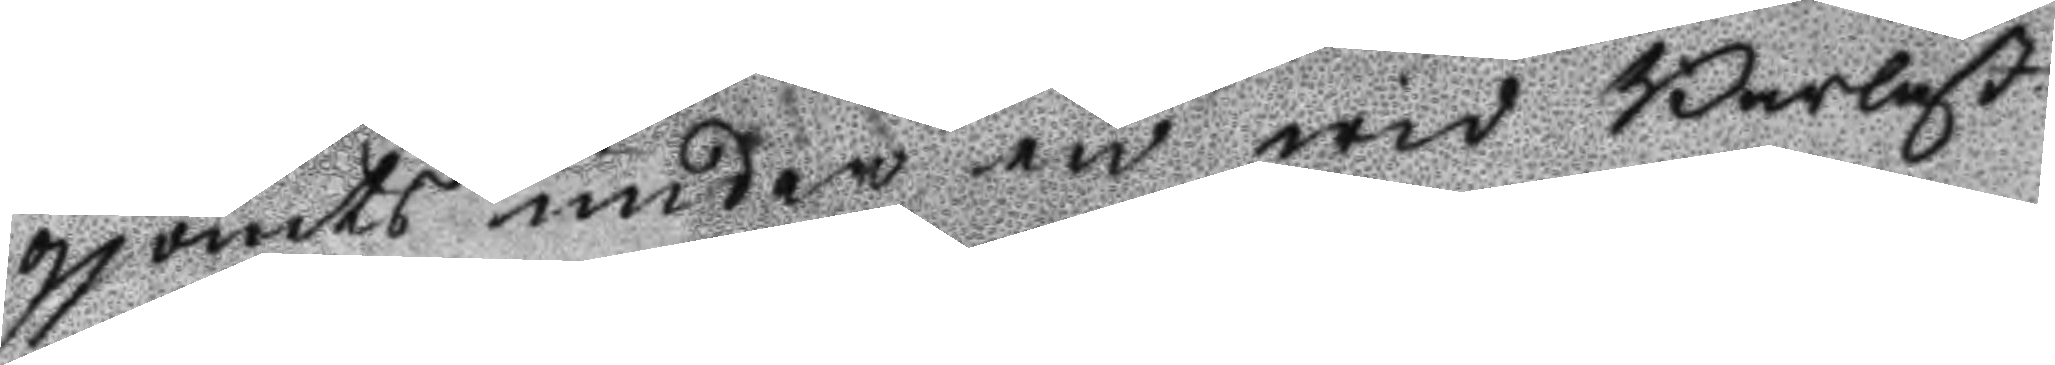gjömts under en wid Barlast
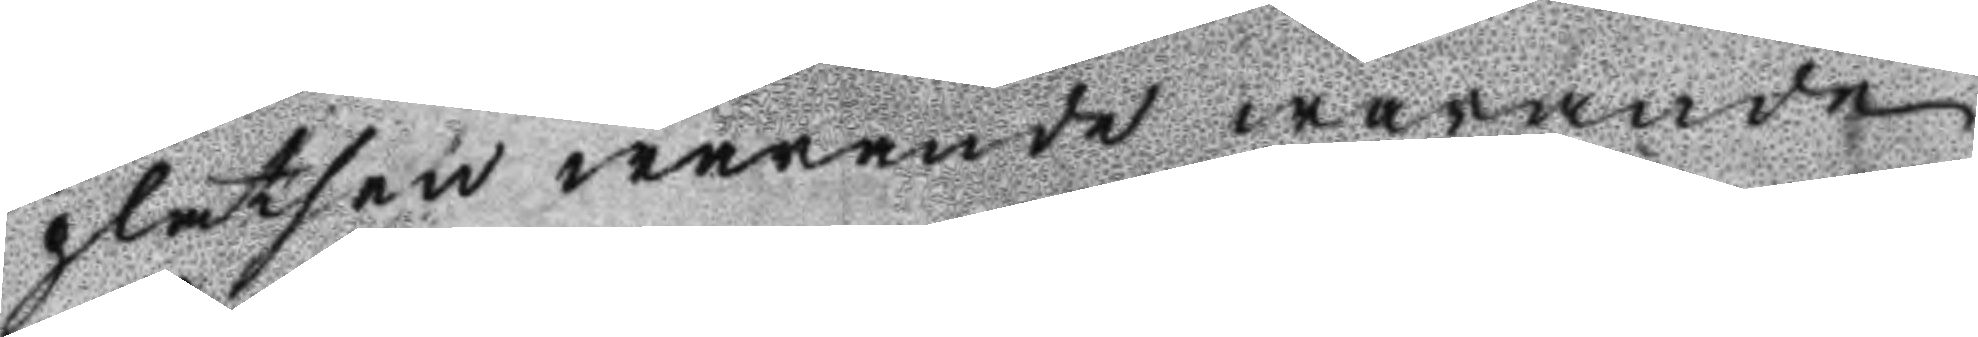platsen warande warande
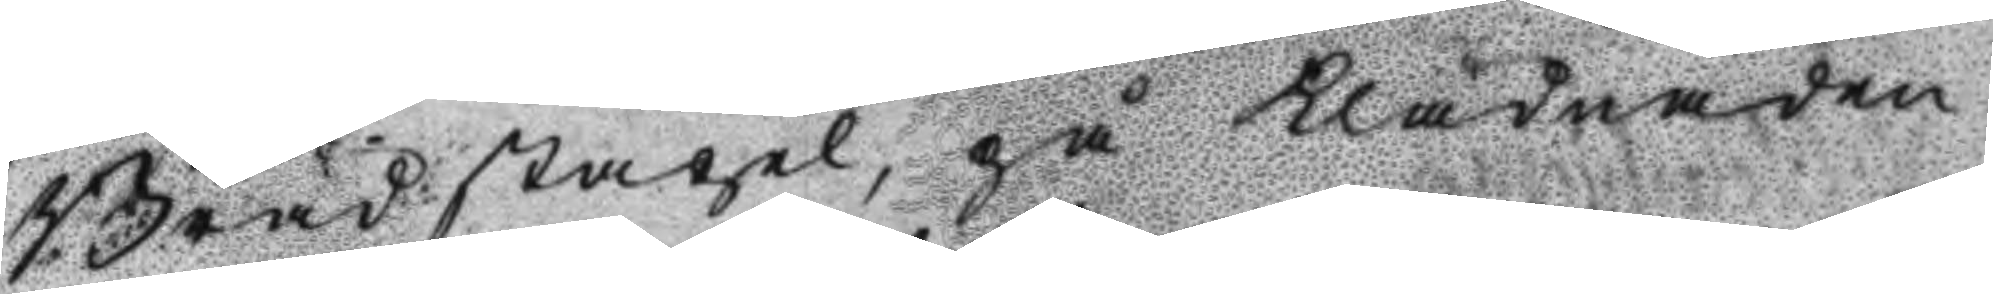Breädstapel, på Klädnaden
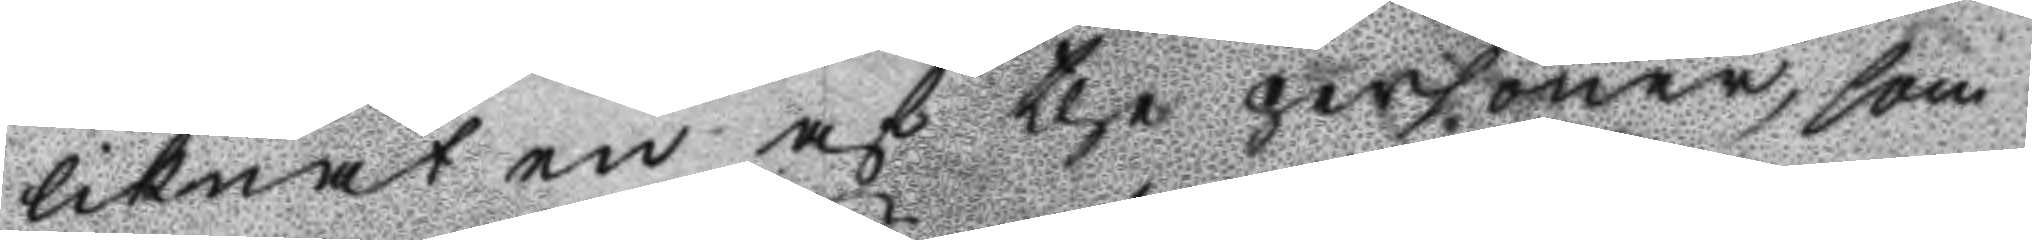liknat en af the personer som
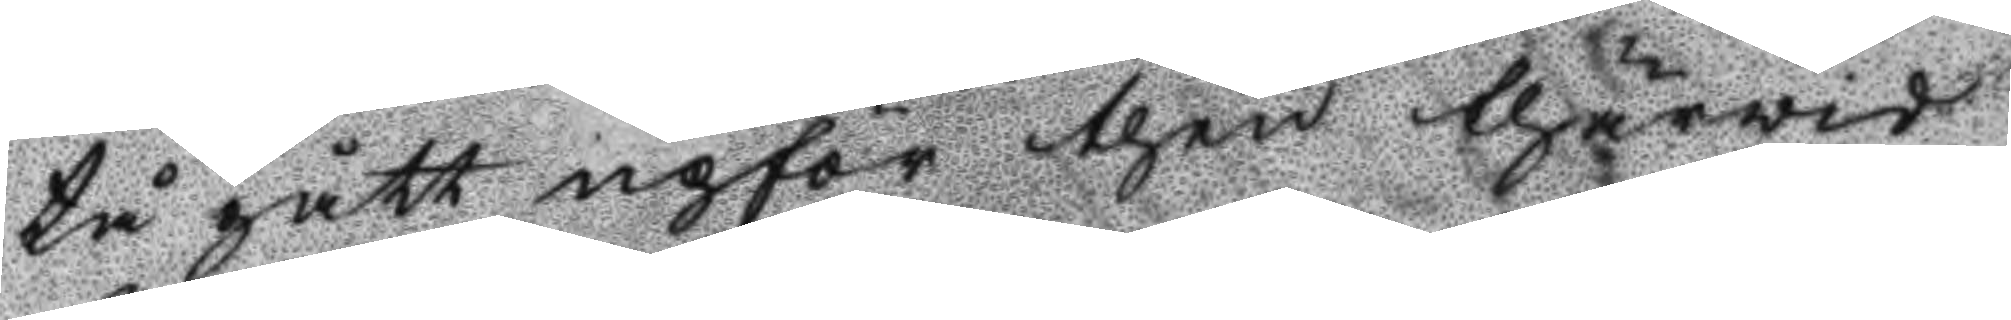tå gått upför then thärvid
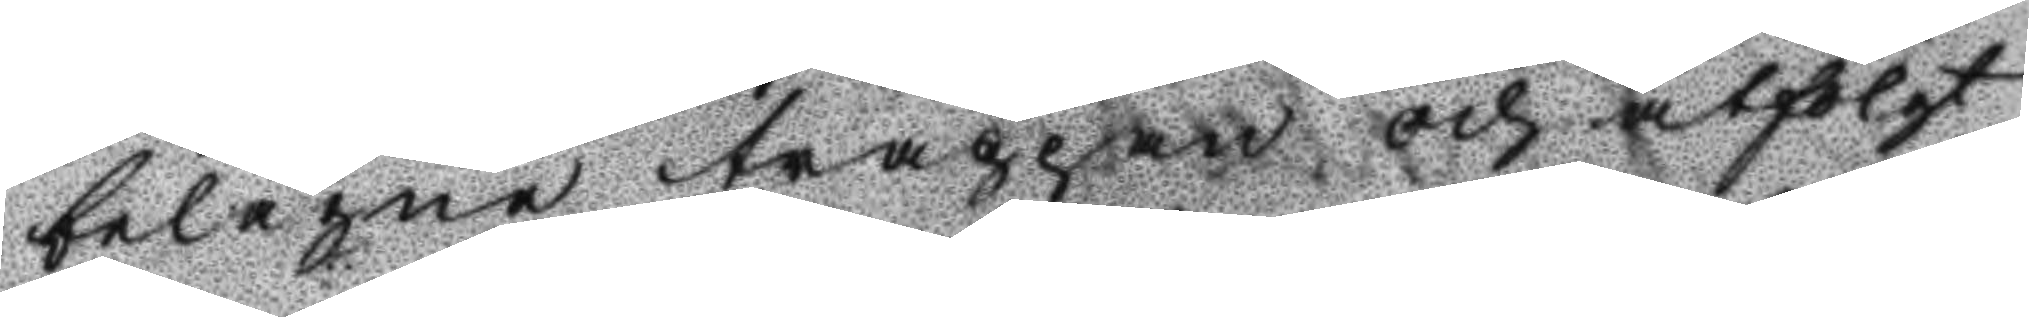belägne trappan och åtfölgt
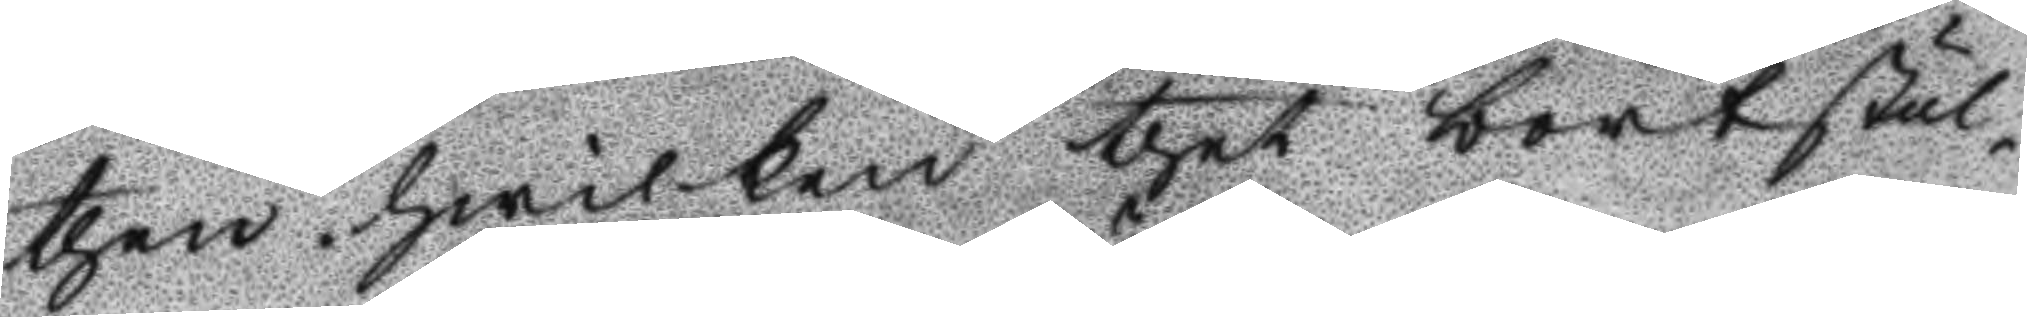then hwilken thet bortstul¬
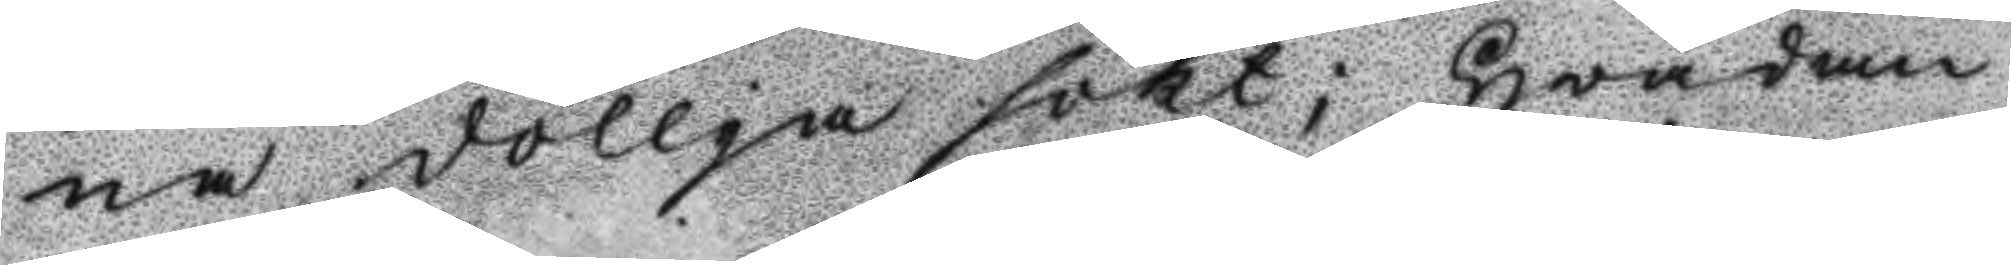na döllja sökt; Hvardan
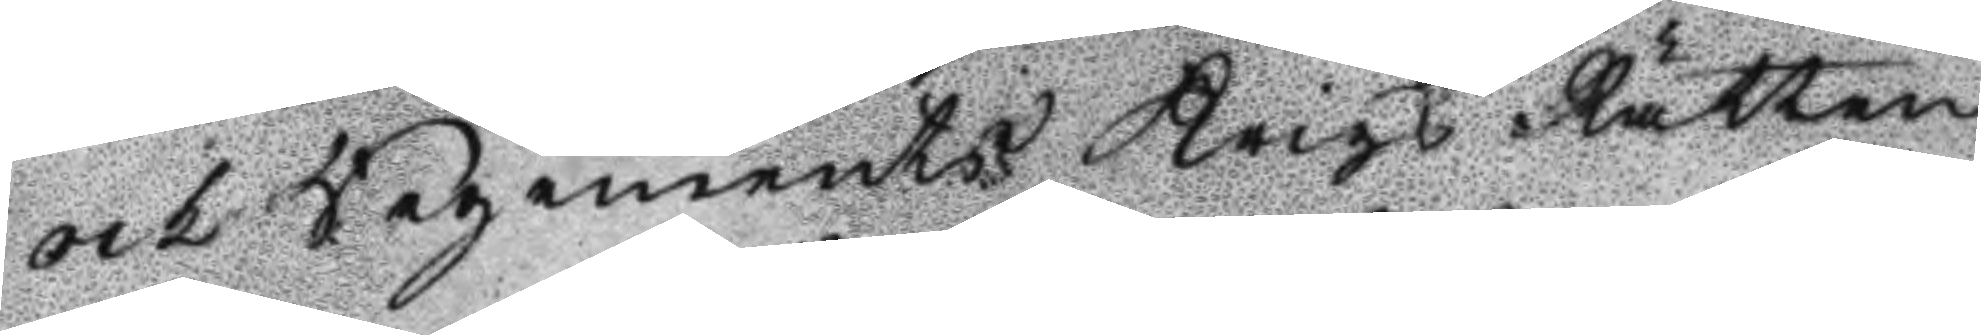och Regements Krigs Rätten
